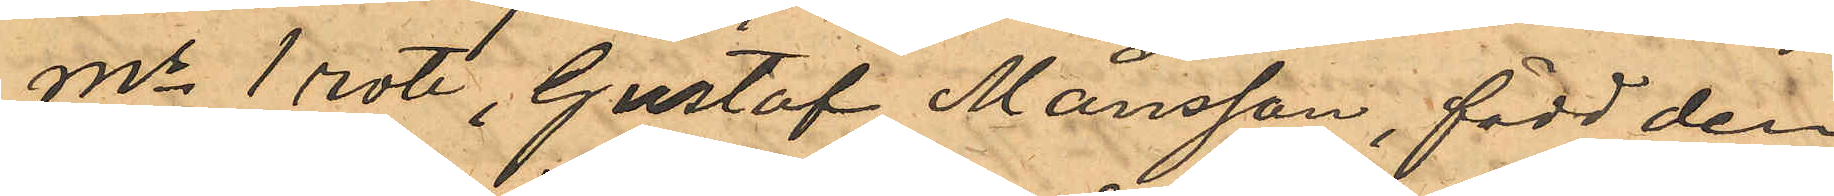Ms 1 rote, Gustaf Månsson, född den
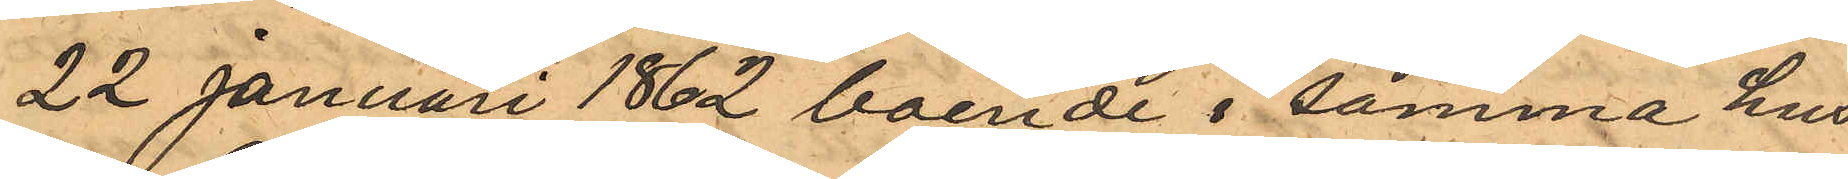22 Januari 1862 boende i samma hus
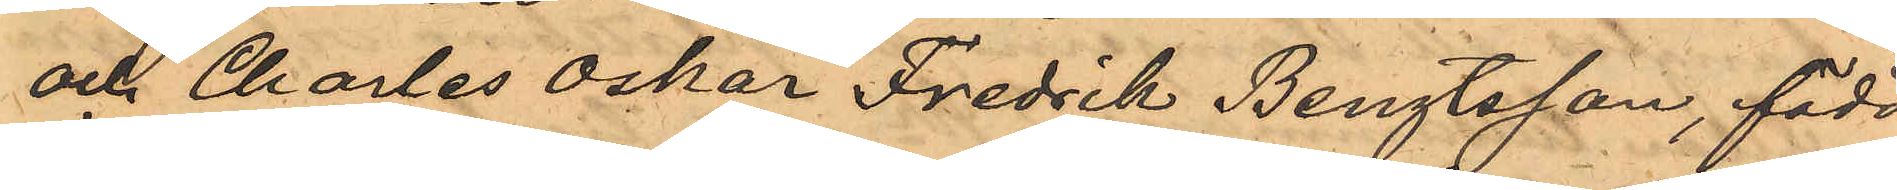och Charles Oskar Fredrik Bengtsson, född
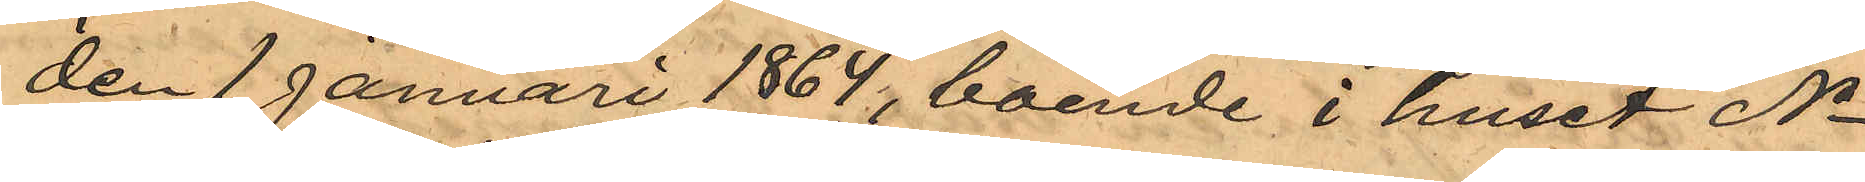den 1 januari 1864, boende i huset No
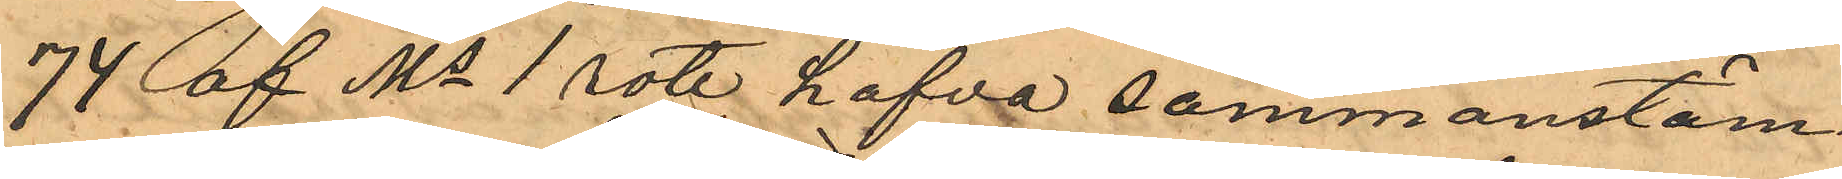74 af Ms 1 rote hafva sammanstäm¬
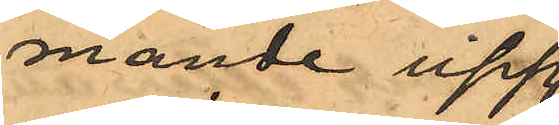mande upp¬
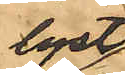lyst
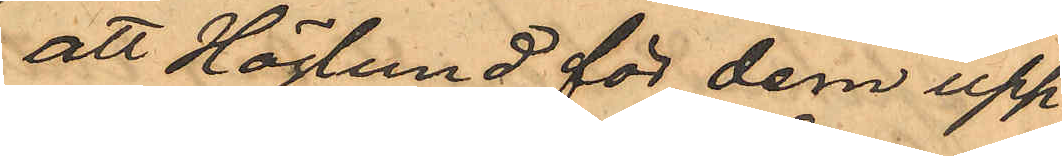att Höglund för dem upp¬
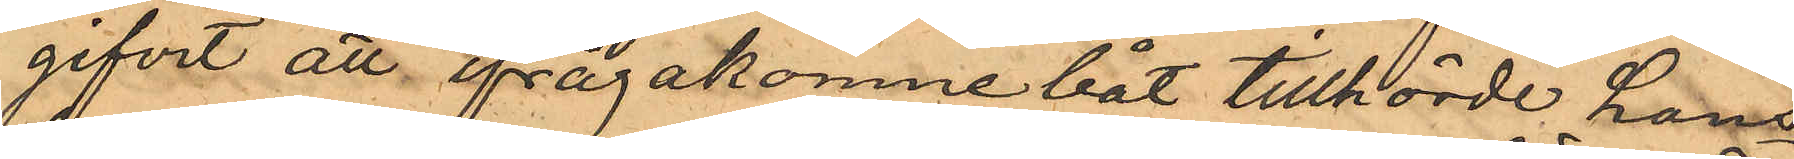gifvit att ifrågakomne båt tillhörde hans
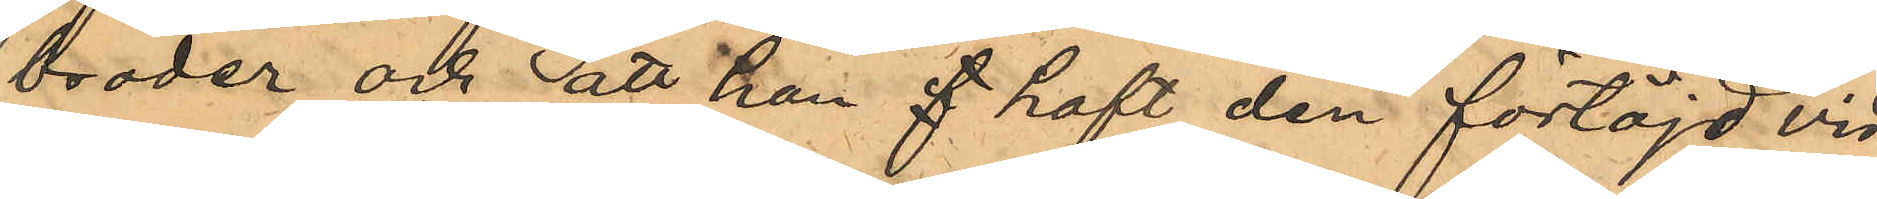broder och att han f haft den förtöjd vid
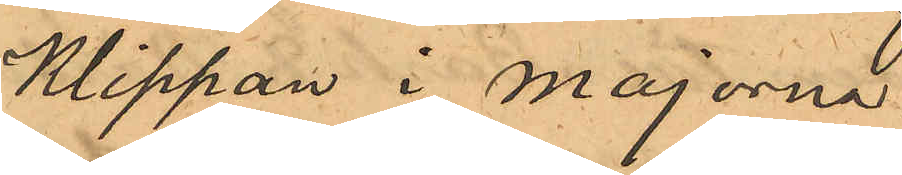Klippan i Majorna.
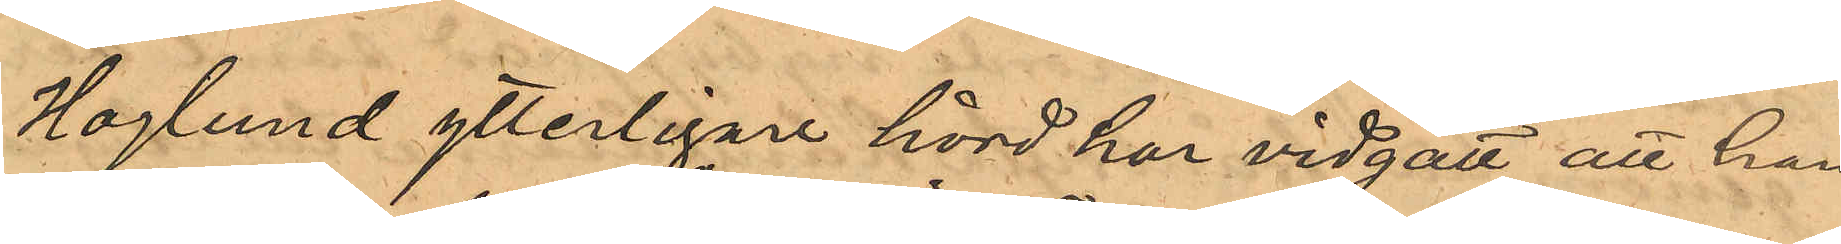Hoglund ytterligare hörd har vidgått att han
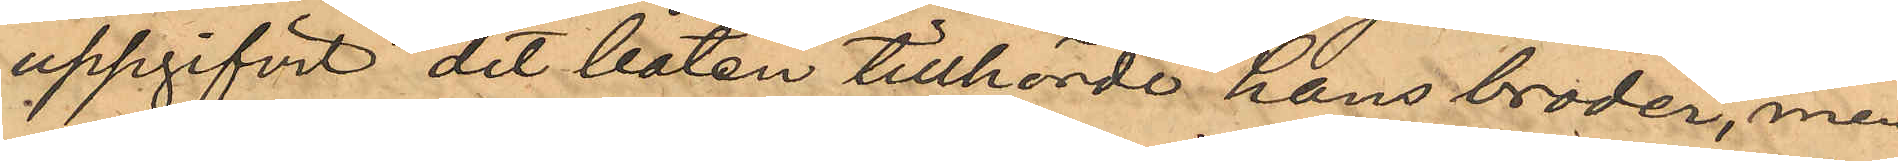uppgifvit det båten tillhörde hans broder, men
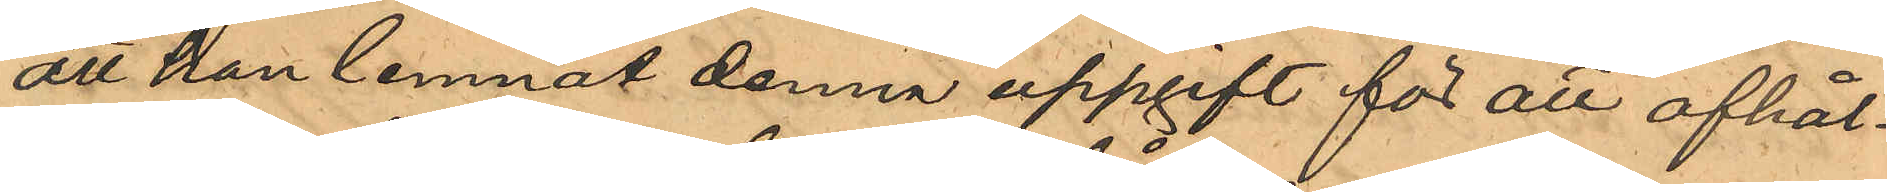att han lemnat denna uppgift för att afhål¬
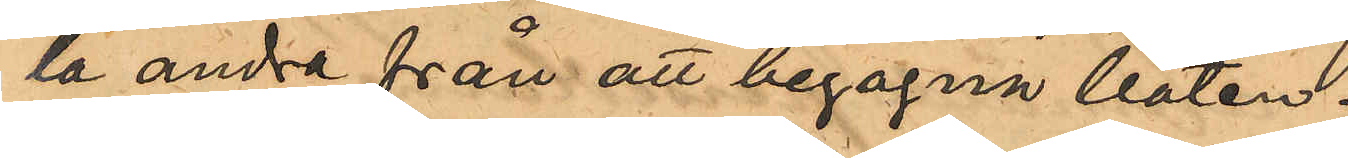la andra från att begagna båten.
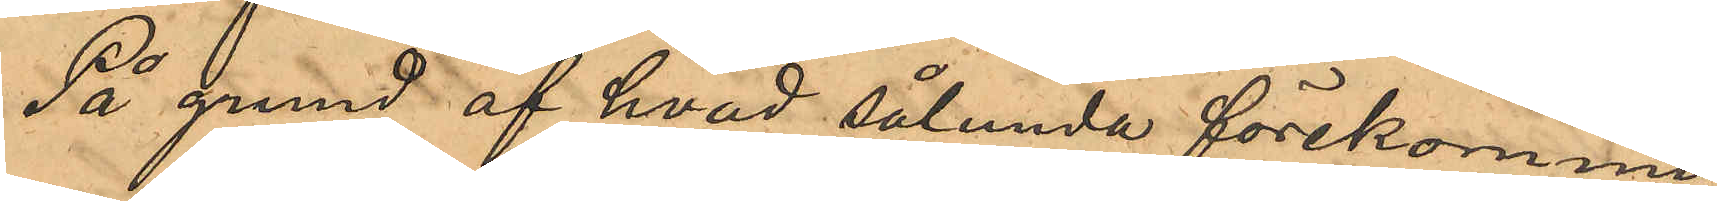På grund af hvad sålunda förekommit
